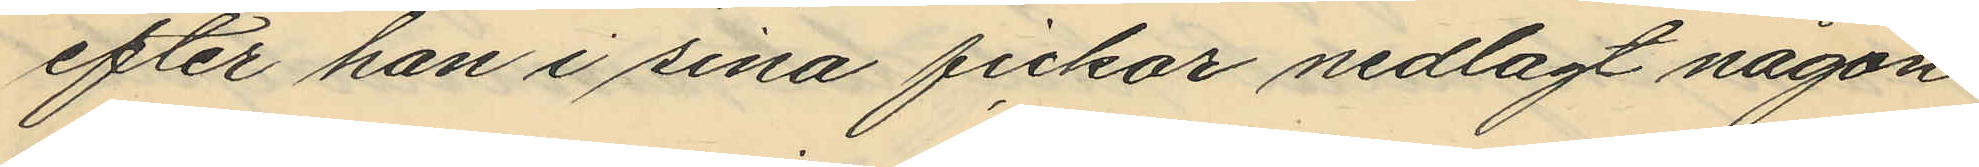efter han i sina fickor nedlagt någon
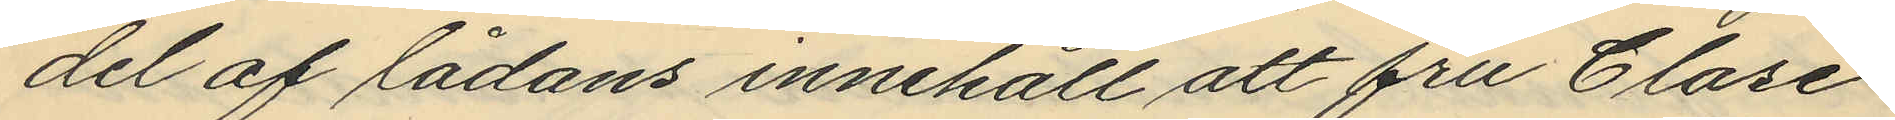del af lådans innehåll att fru Clase
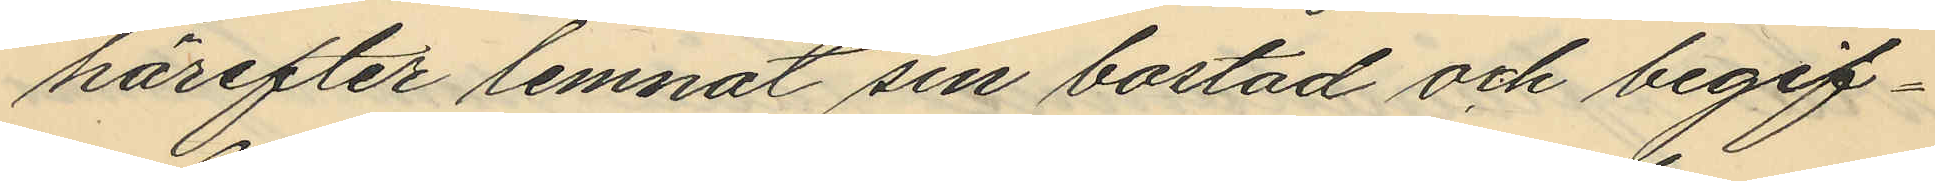härefter lemnat sin bostad och begif¬
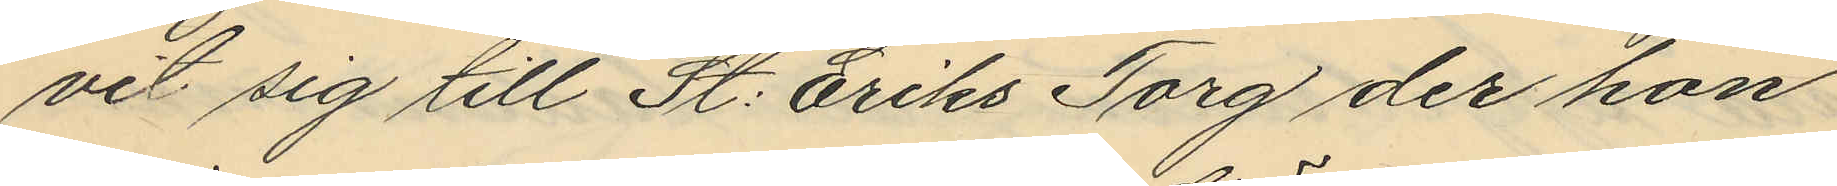vit sig till St: Eriks Torg der hon
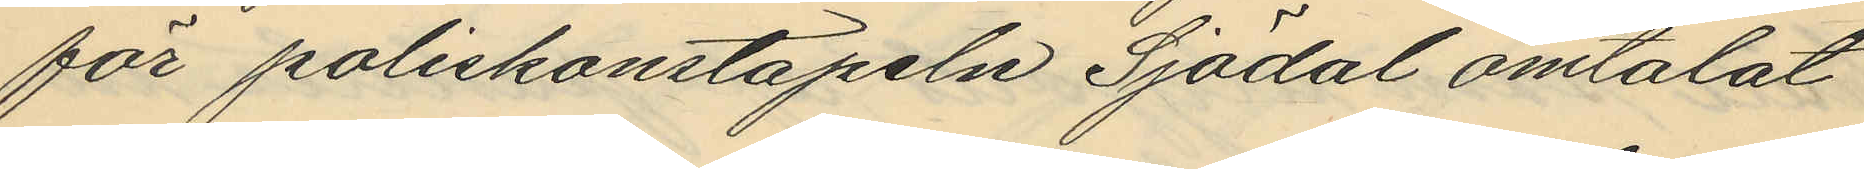för poliskonstapeln Sjödal omtalat
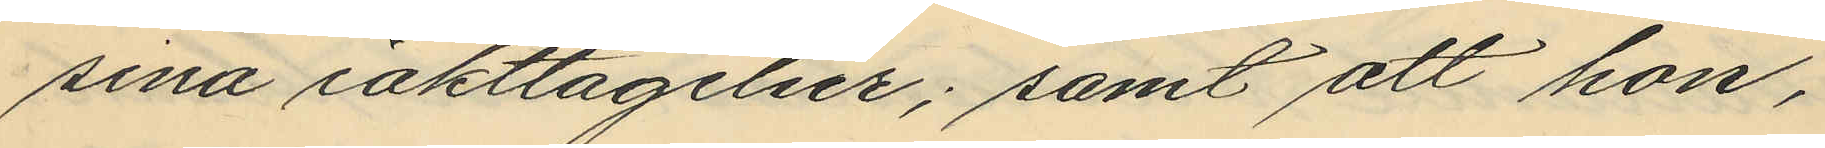sina iakttagelser; samt att hon,
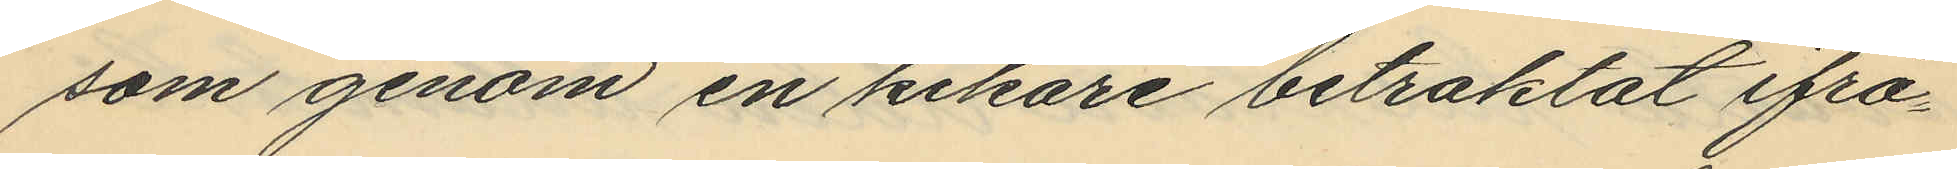som genom en kikare betraktat ifrå¬
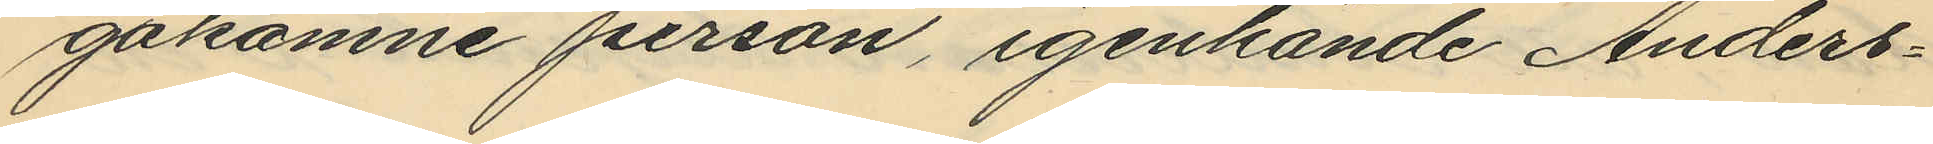gakomne person, igenhände Anders¬
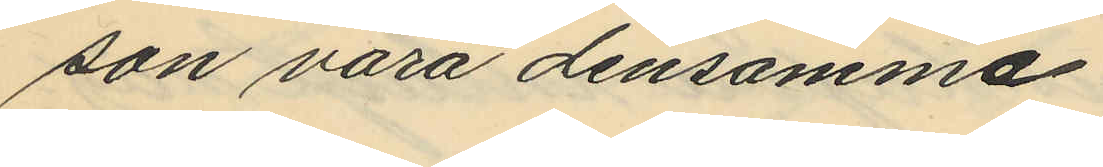son vara densamma
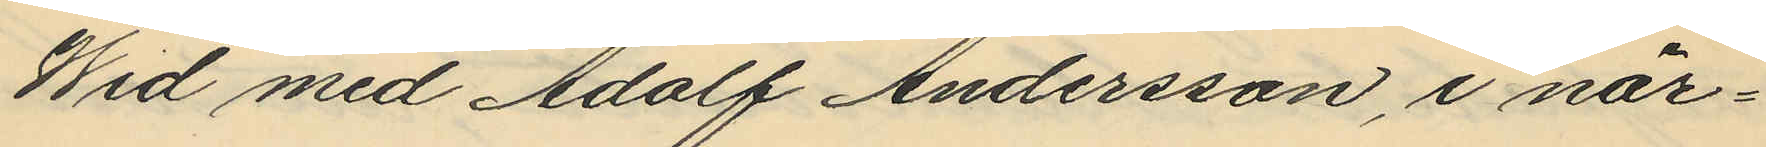Wid med Adolf Andersson, i när¬
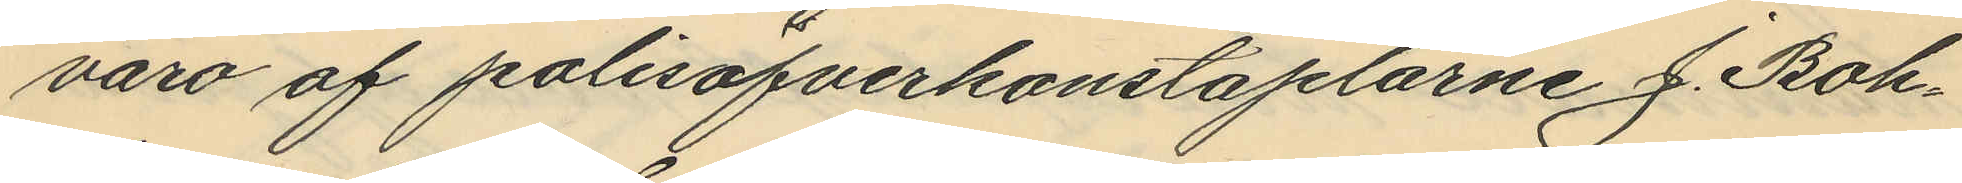varo af polisöfverkonstaplarne J. Boh¬
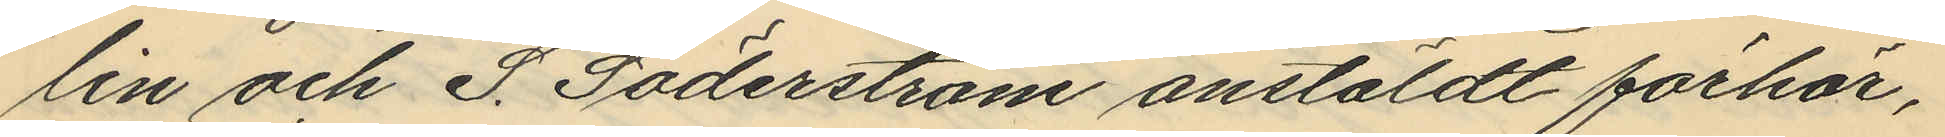lin och S. Söderström anstäldt förhör,
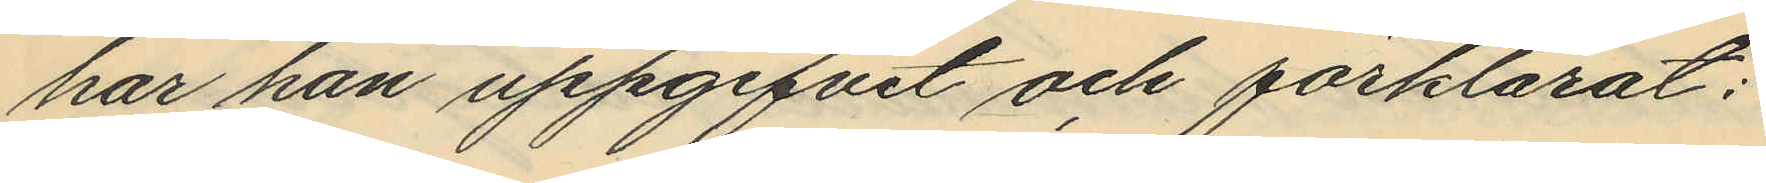har han uppgifvit och förklarat:
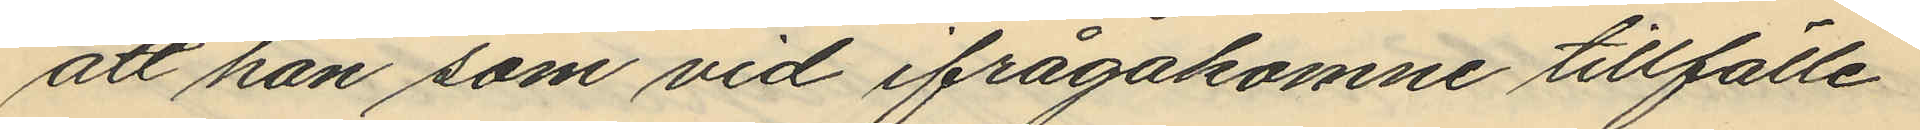att han som vid ifrågakomne tillfälle
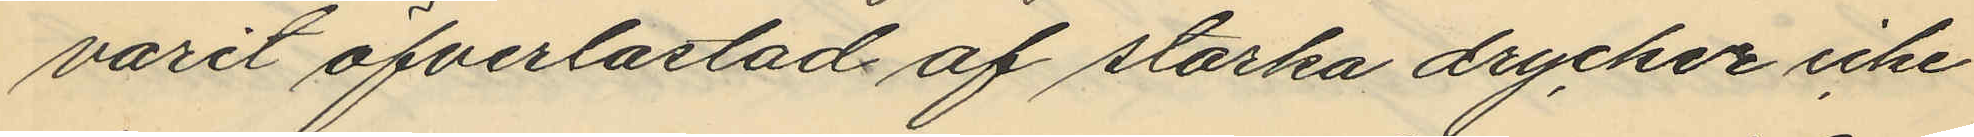varit öfverlastad af starka drycker icke
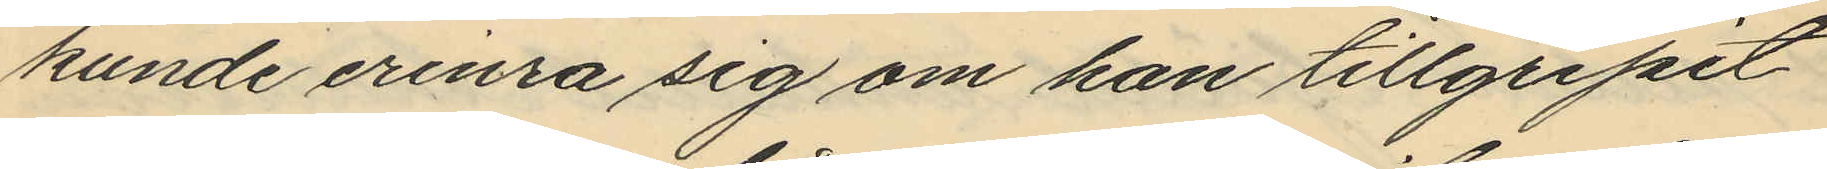kunde erinra sig om han tillgripit
